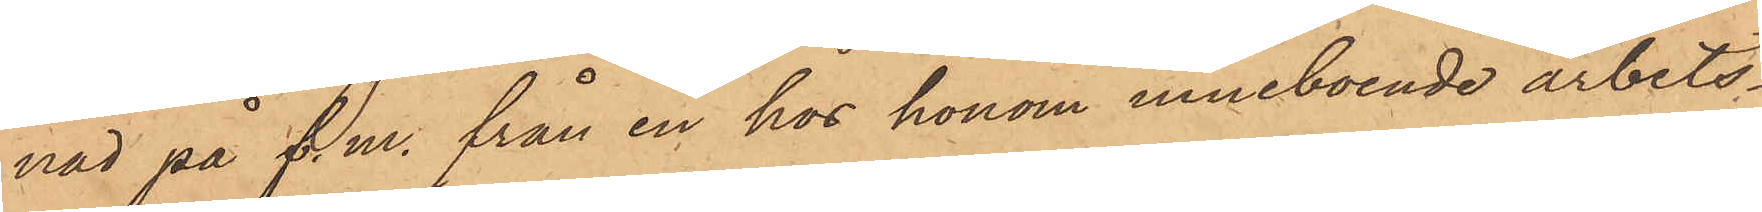nad på f. m. från en hos honom inneboende arbets¬
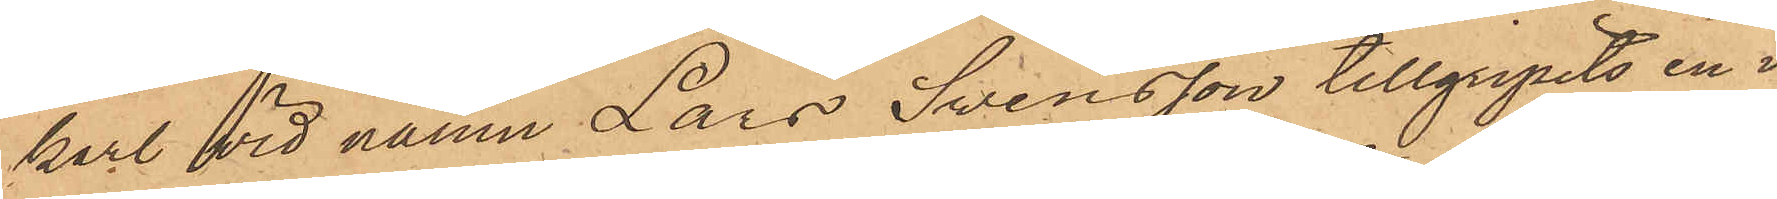karl vid namn Lars Swensson tillgripits en i
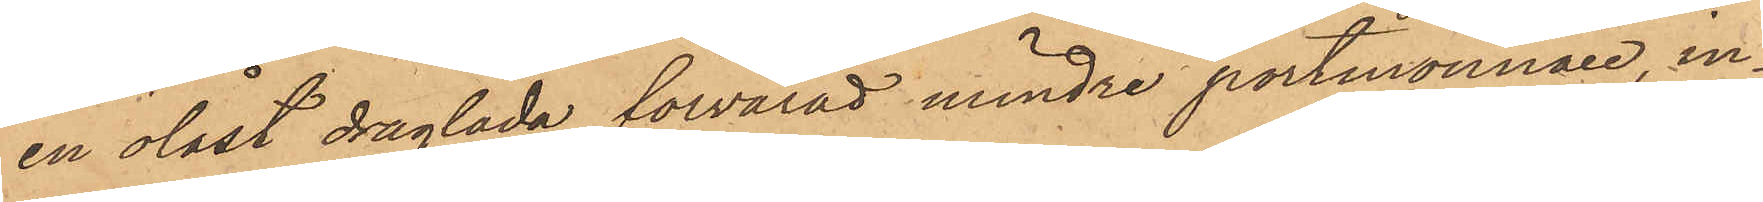en olåst draglåda förvarad mindre portmonnaie, in¬
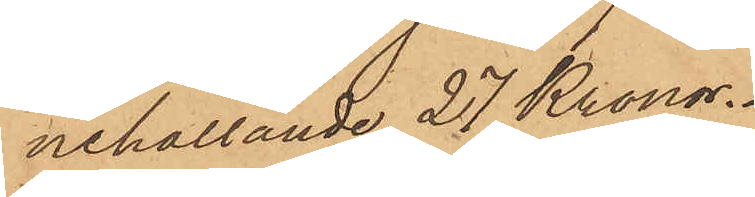nehållande 27 Kronor.
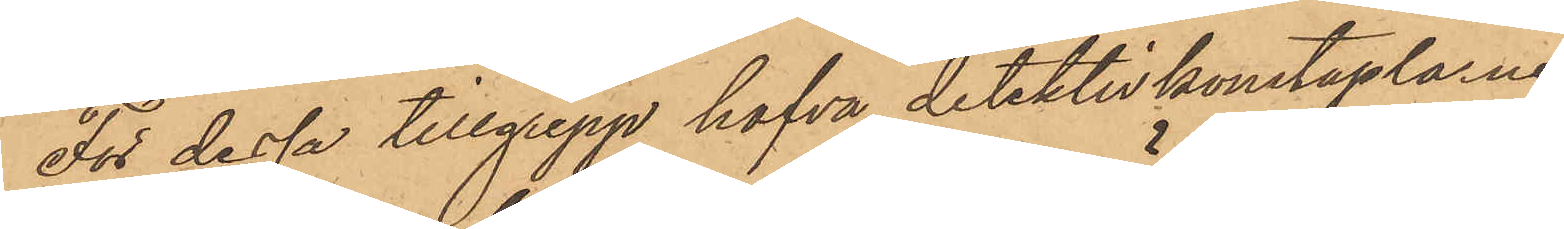För dessa tillgrepp hafva detektivkonstaplarne
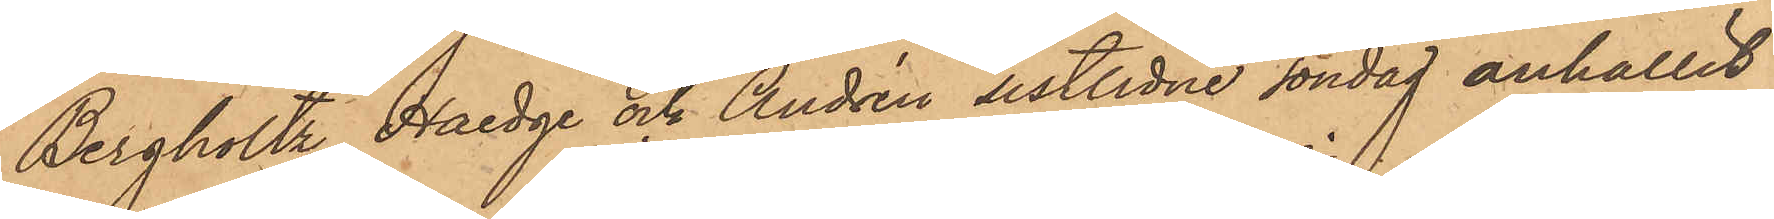Bergholtz, Haedge och Andrén sistlidne söndag anhållit
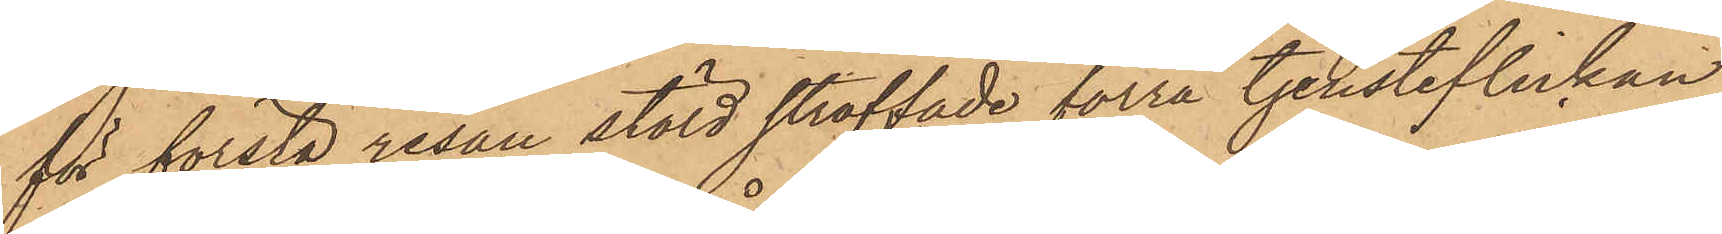för första resan stöld straffade förra tjensteflickan
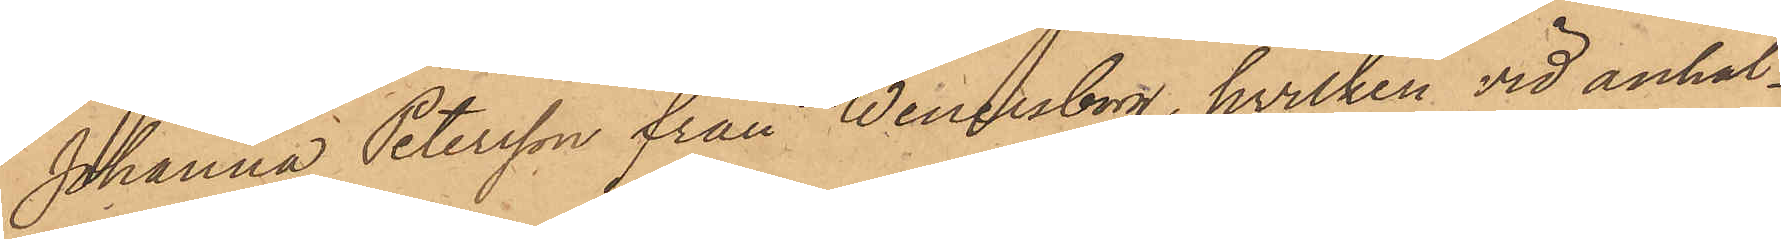Johanna Petersson från Wenersborg, hvilken vid anhål¬
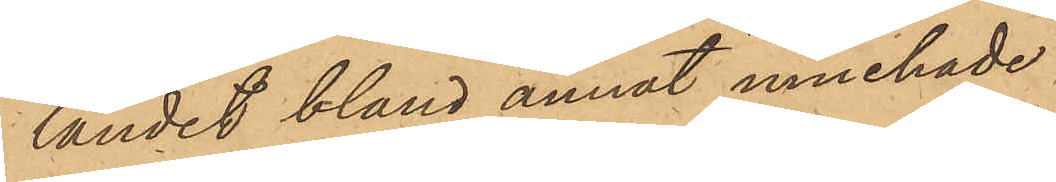landet bland annat innehade
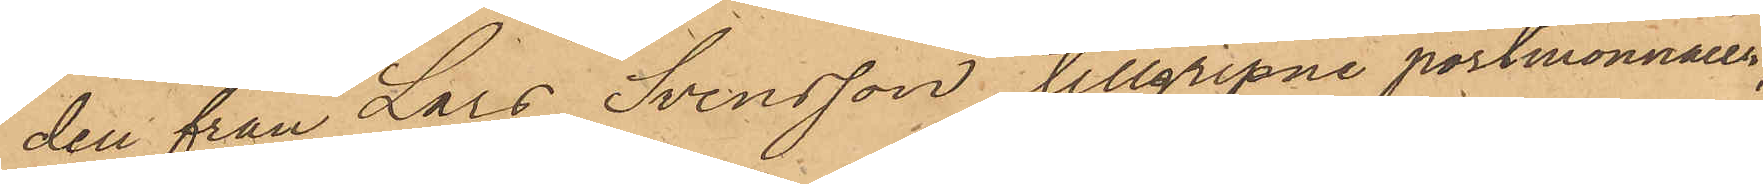den från Lars Svensson tillgripne portmonnaien,
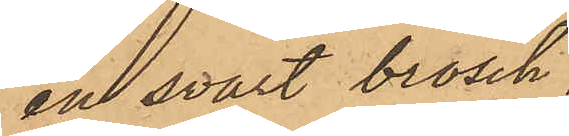en svart brosch,
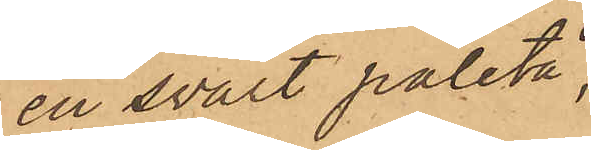en svart paletå,
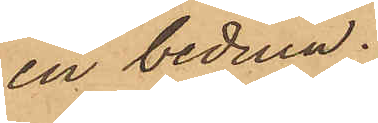en beduin;
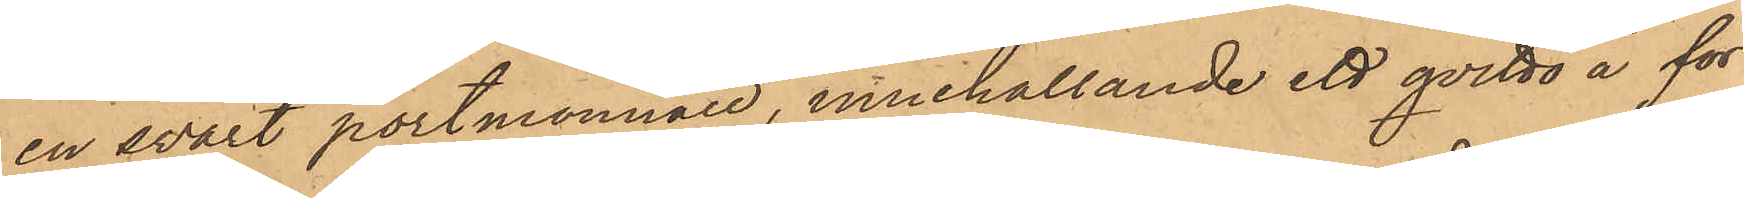en svart portmonnaie, innehållande ett qvitto å för
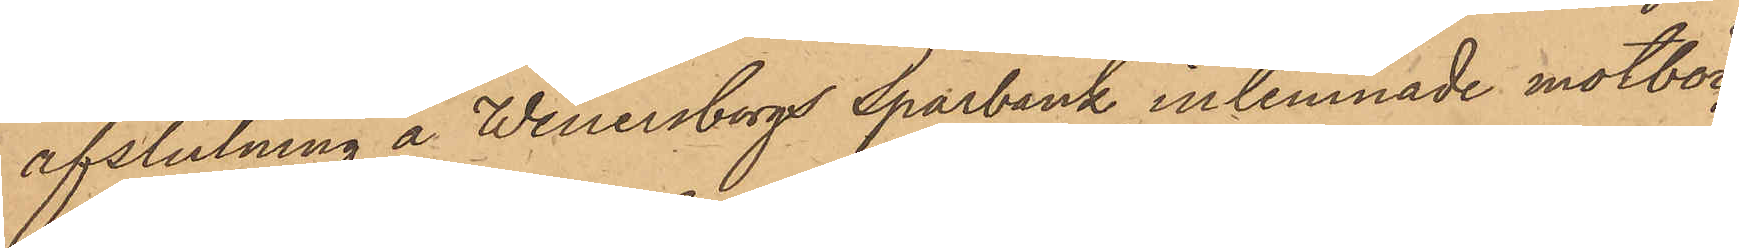afslutning å Wenersborgs sparbank inlemnade motböc¬
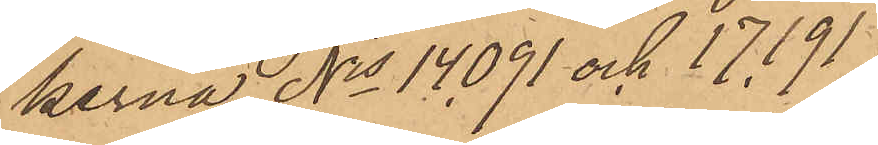kerna Nis 14091 och 17191
